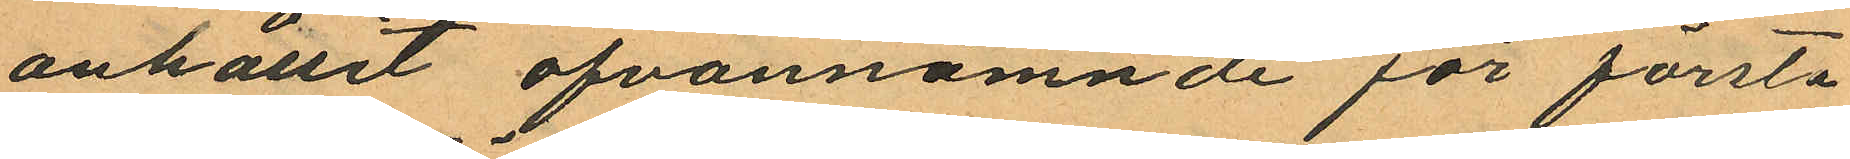anhållit ofvannämnde för första
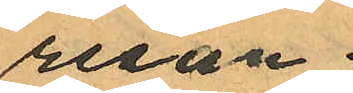resan
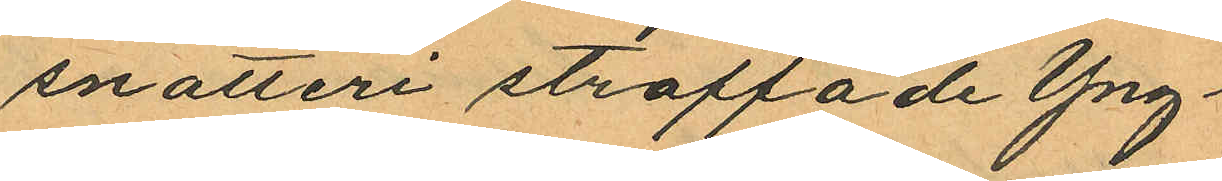snatteri straffade Yng¬
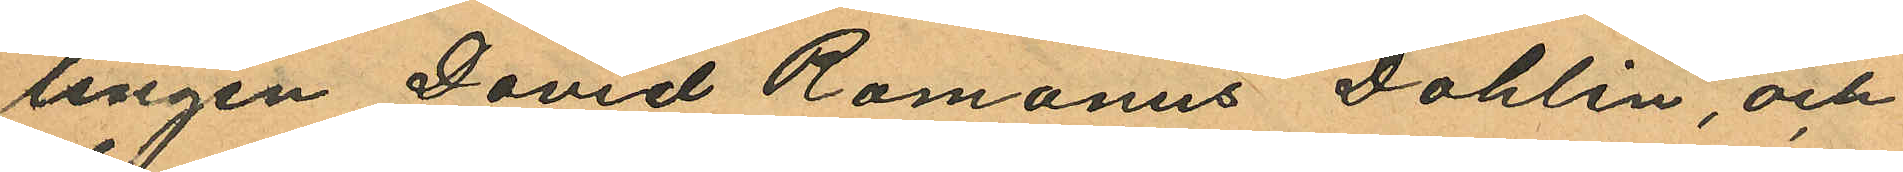lingen David Romanus Dahlin, och
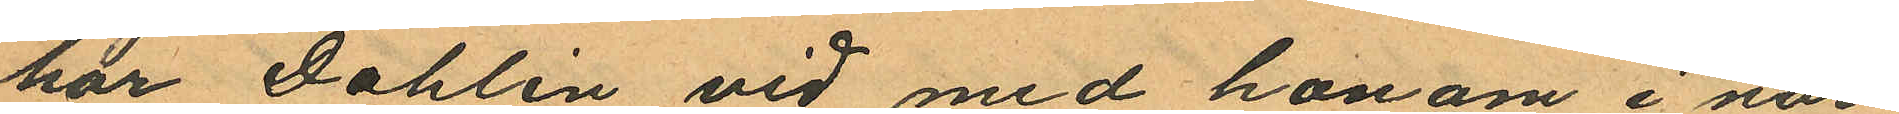har Dahlin vid med honom i när¬
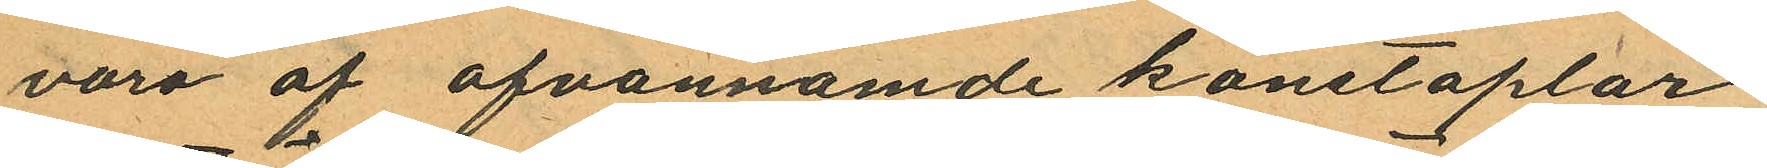varo af ofvannämde konstaplar
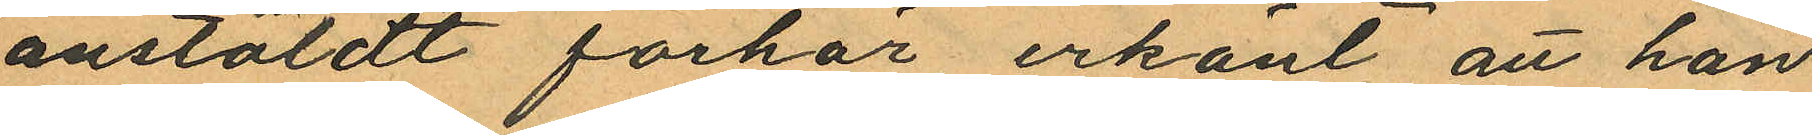anstäldt förhör erkänt att han
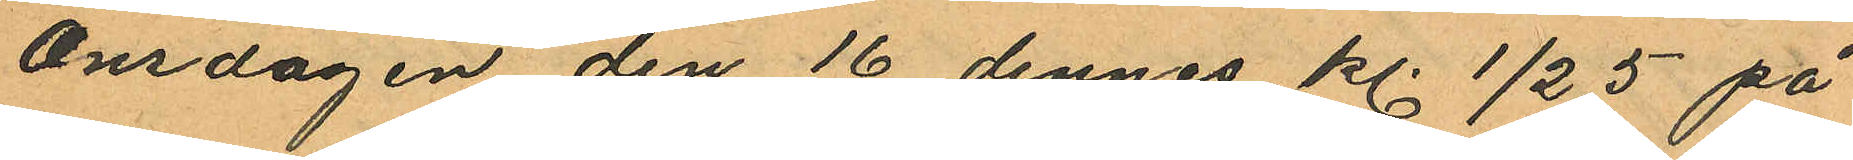Onsdagen den 16 dennes kl. ½ 5 på
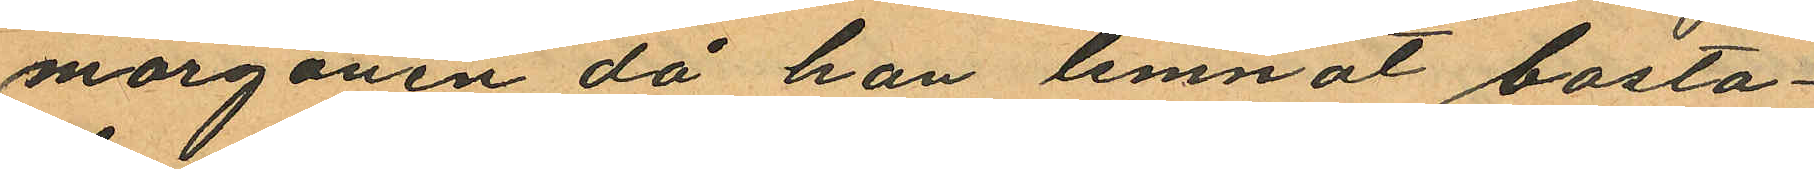morgonen då han lemnat bosta¬
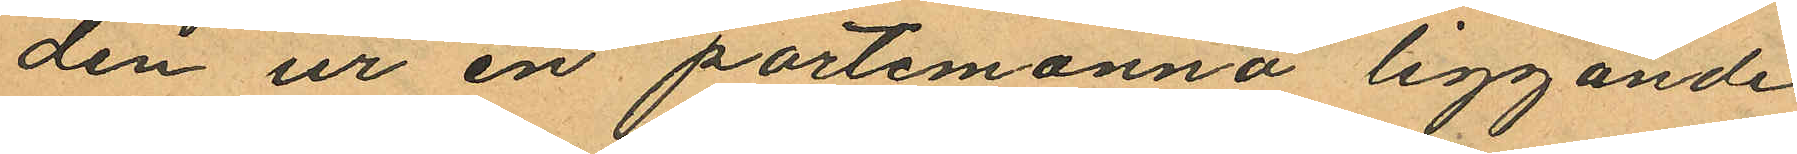den ur en portemonnä liggande
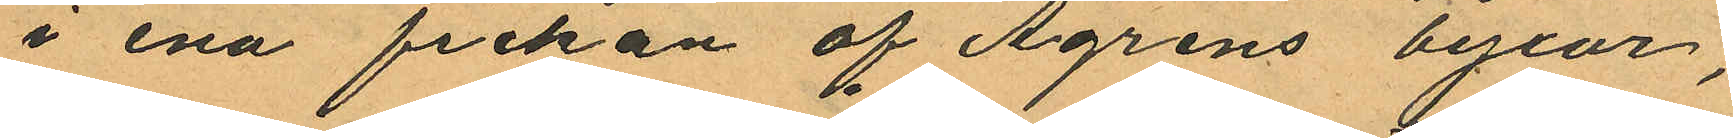i ena fickan af Ågrens byxor,
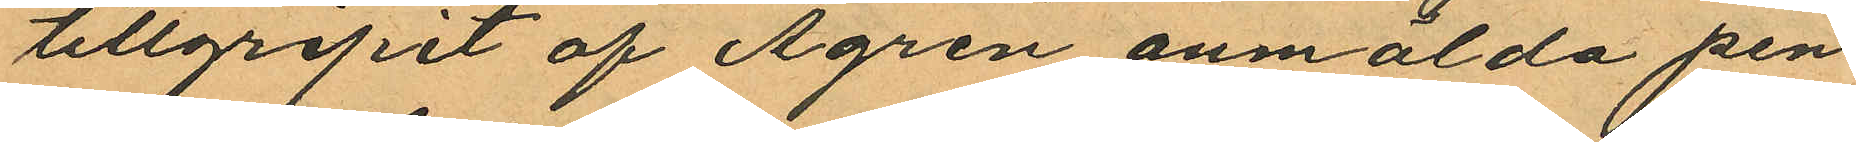tillgripit af Ågren anmälda pen¬
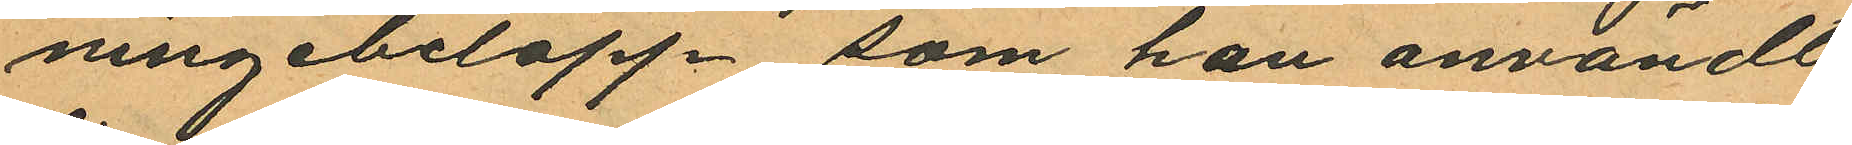ningebelopp som han användt
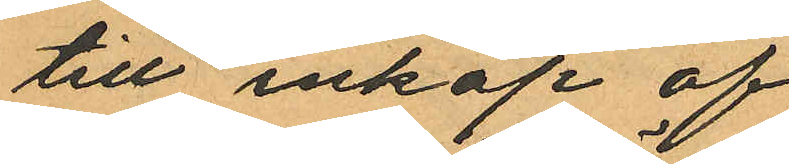till inköp af
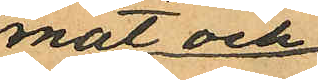mat och
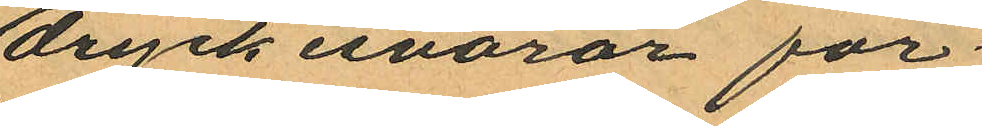dryckesvaror för
